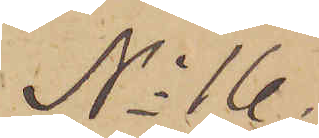No 16
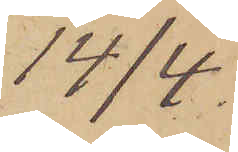14/4.
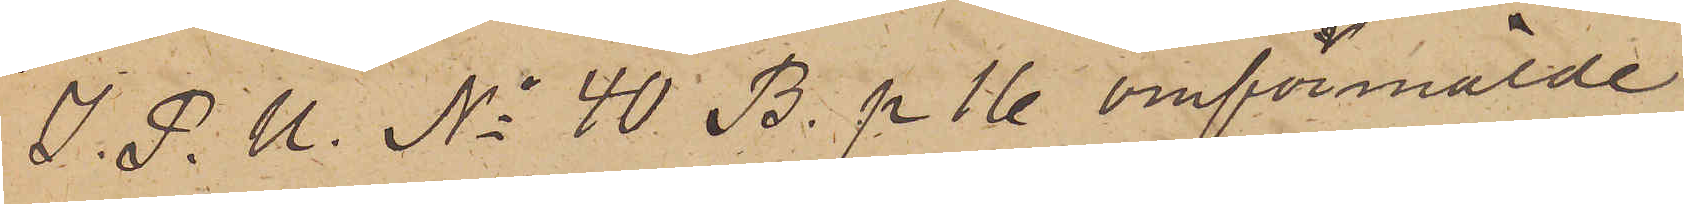I. P. U. No 40 B. p 16 omförmälde
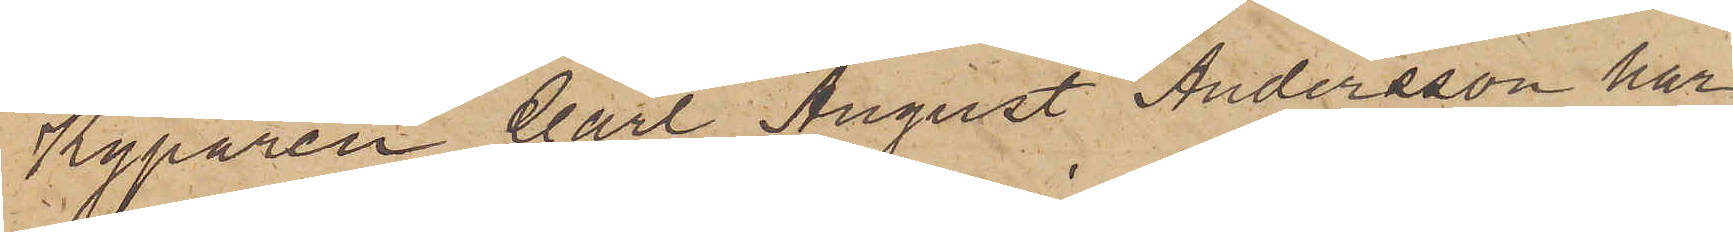Kyparen Carl August Andersson har
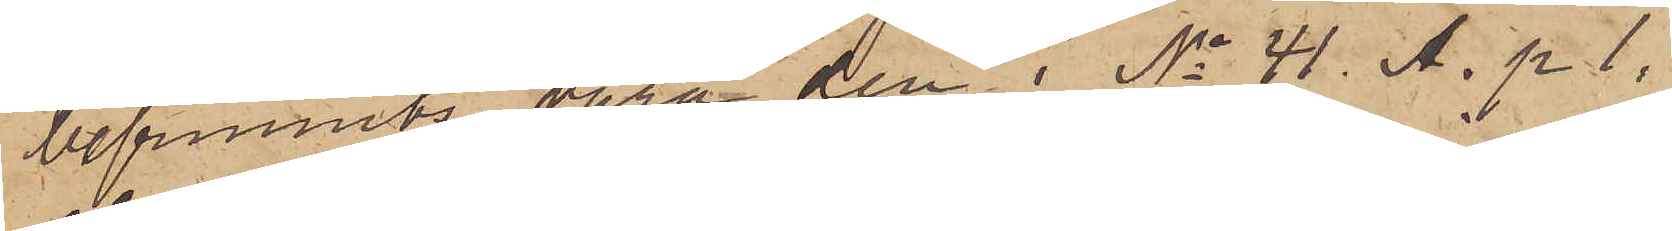befunnits vara den i No 41. A. p 1,
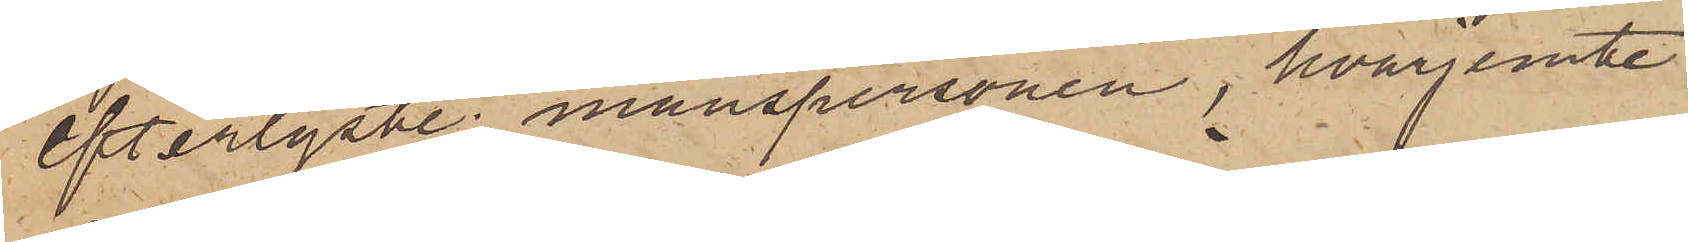efterlyste manspersonen, hvarjemte
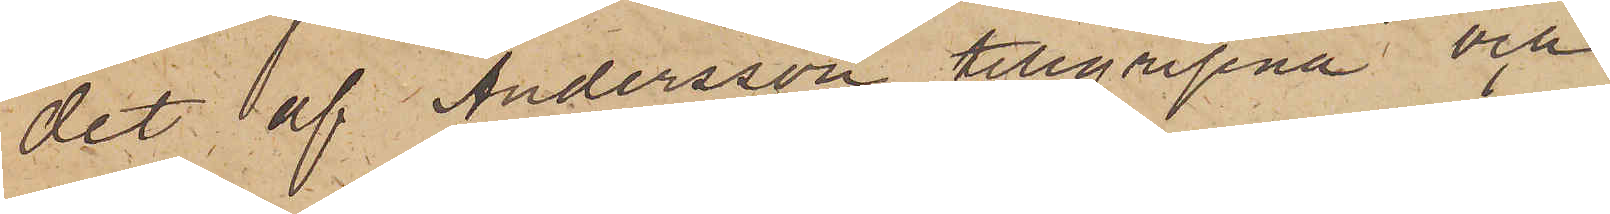det af Andersson tillgripna och
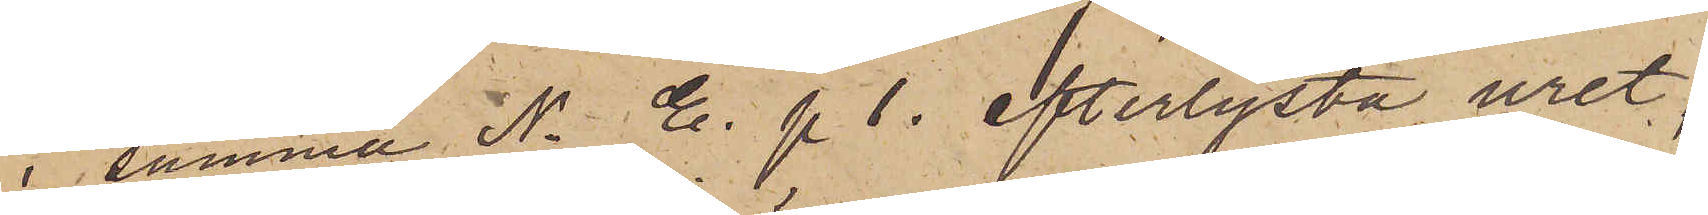i samma N. E. p 1. efterlysta uret,
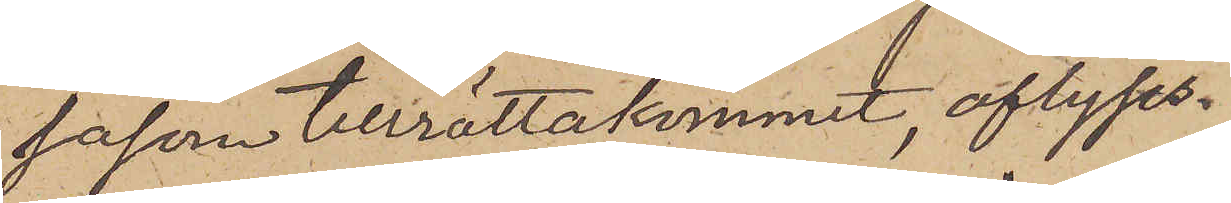såsom tillrättakommit, aflyses.
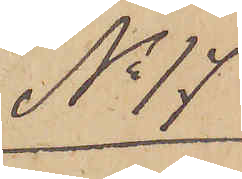No 17
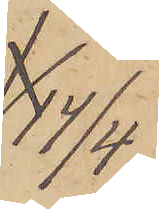14/4
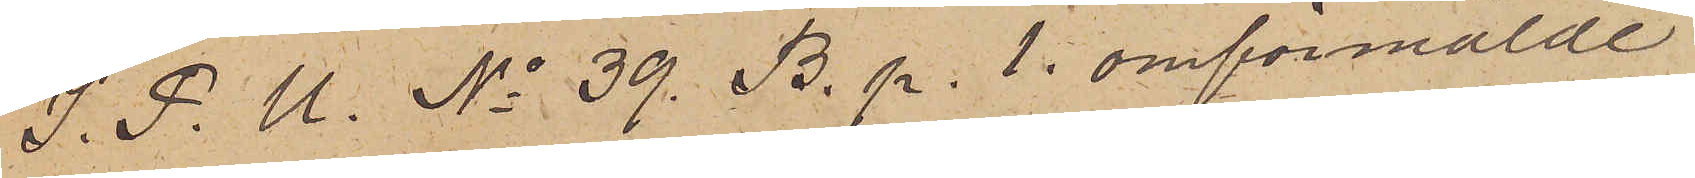I. P. U. No 39. B. p. 1. omförmälde
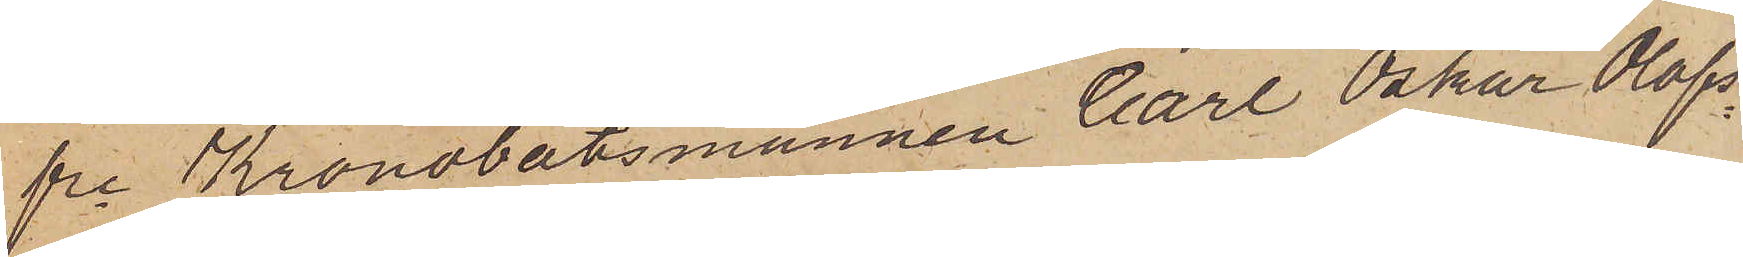fre Kronobåtsmannen Carl Oskar Olofs¬
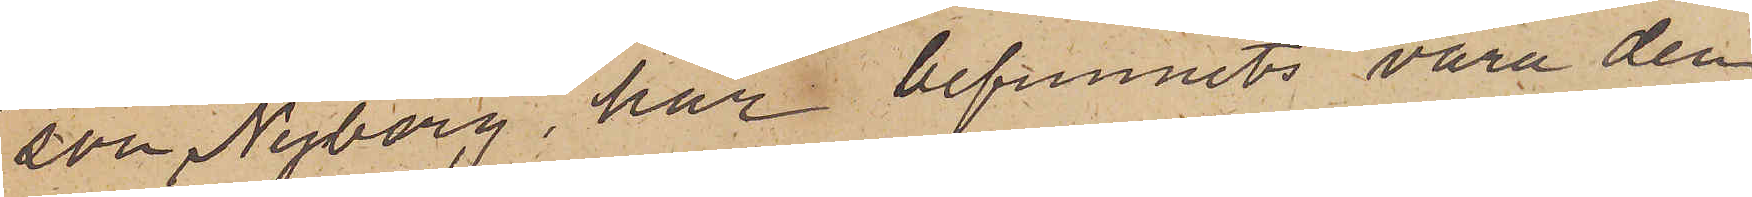son Nyberg, har befunnits vara den
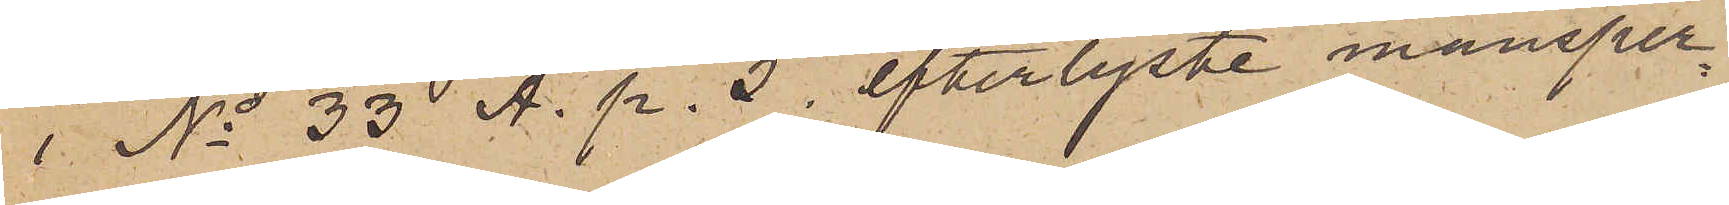 No 33 A. p. 5. efterlyste mansper¬
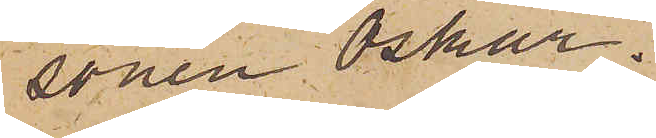sonen Oskar.
